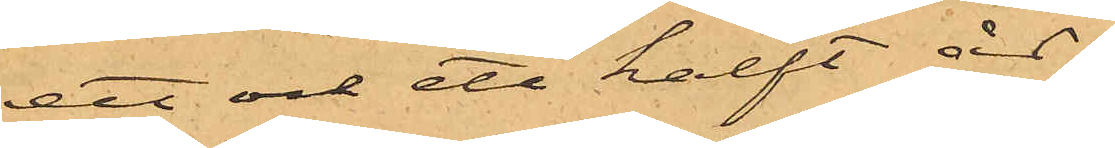ett och ett halft år.
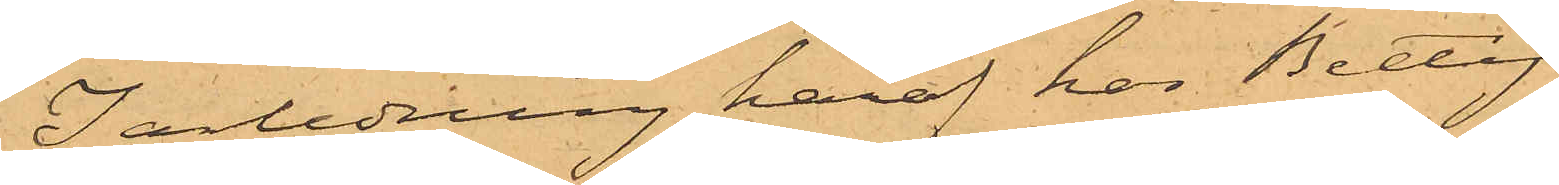I anledning häraf har Betty
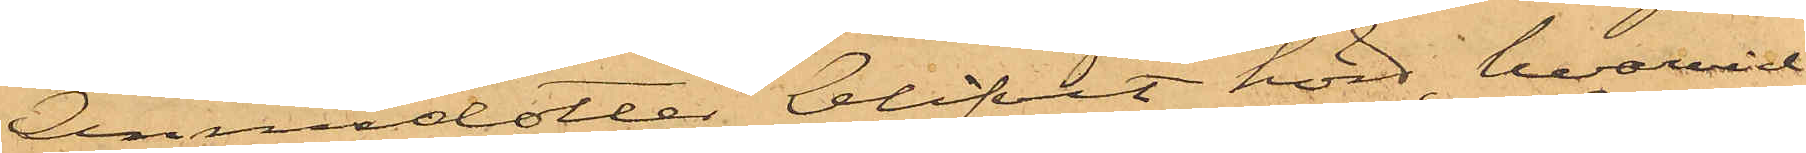Annisdotter blifvit hörd, hvarvid
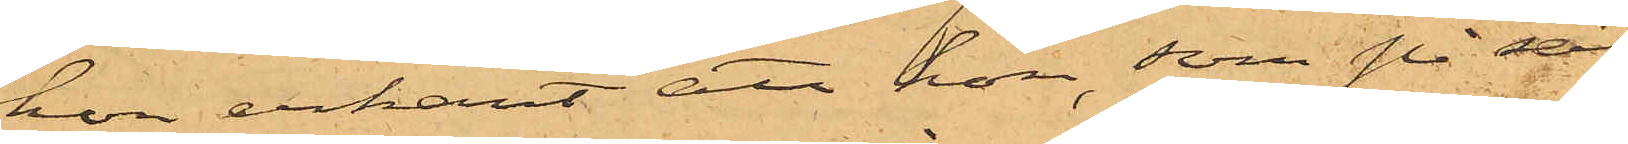hon erkänt att hon, som på sätt
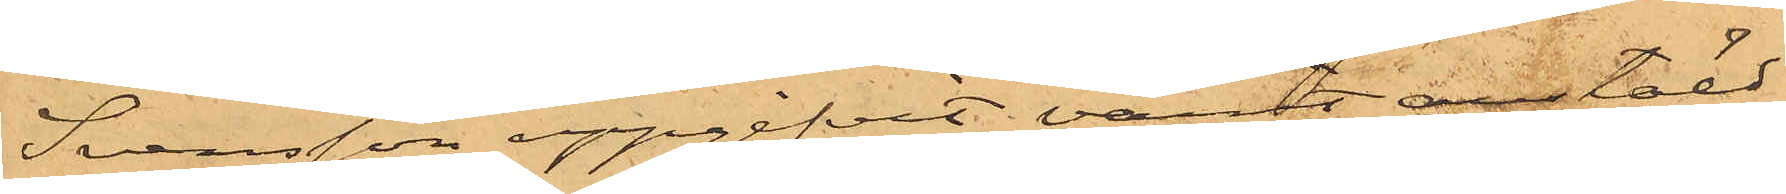Svensson uppgifvit, varit anstäld
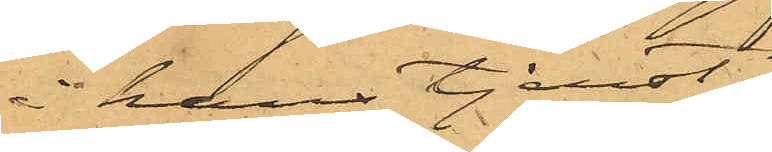i hans tjenst,
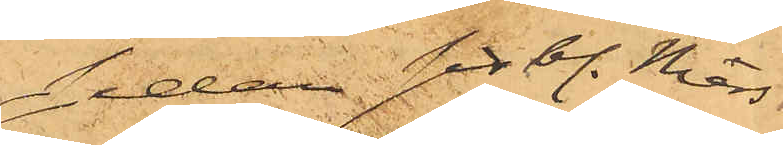sedan sistl. Mars
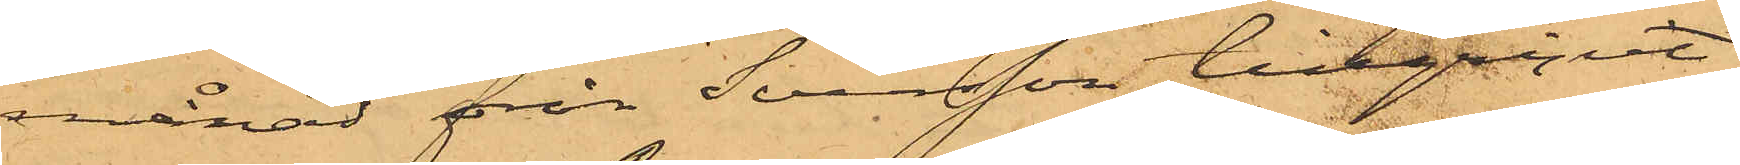månad från Svensson tillgripit
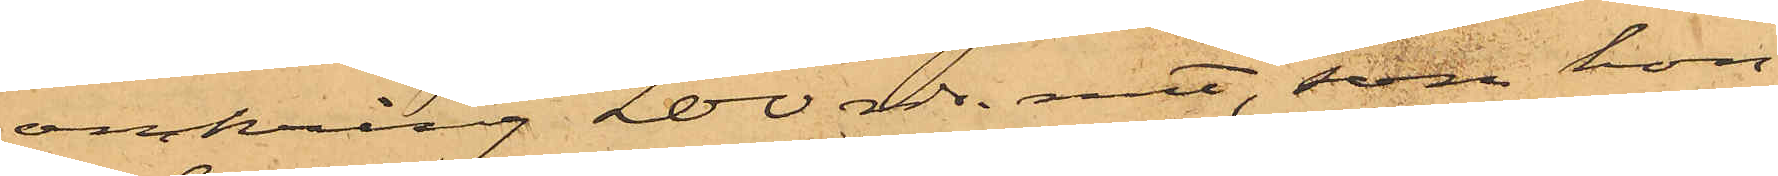omkring 200 rdr. rmt, som hon
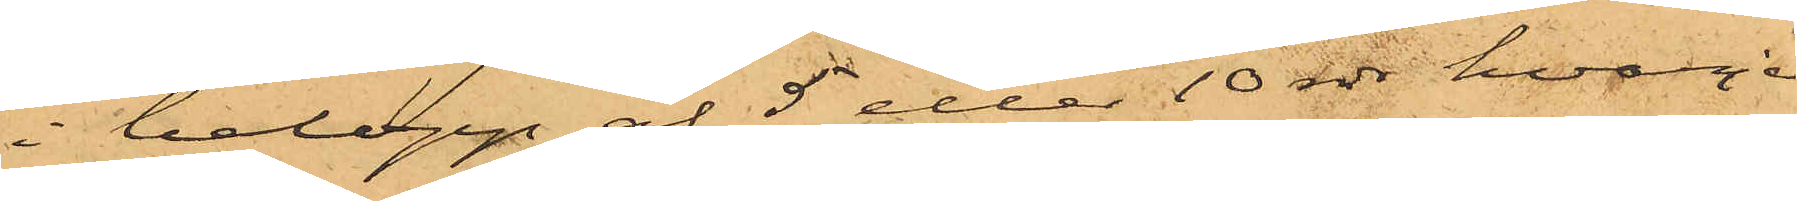i belopp af 5 eller 10 rdr hvarje
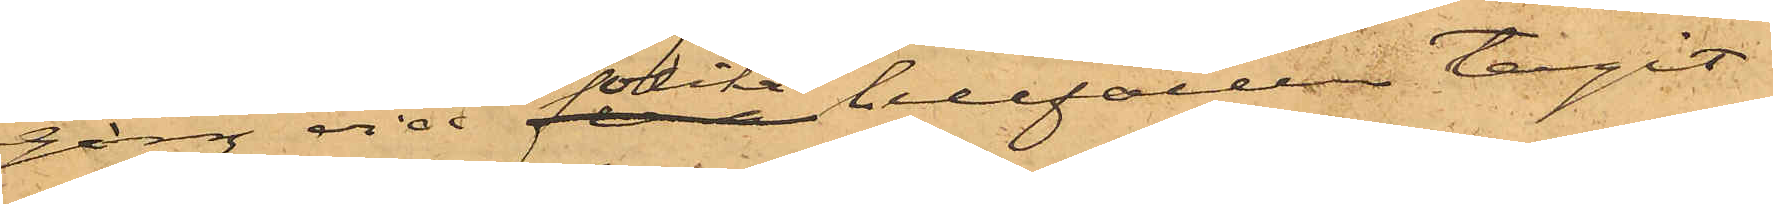gång vid olika tillfällen tagit
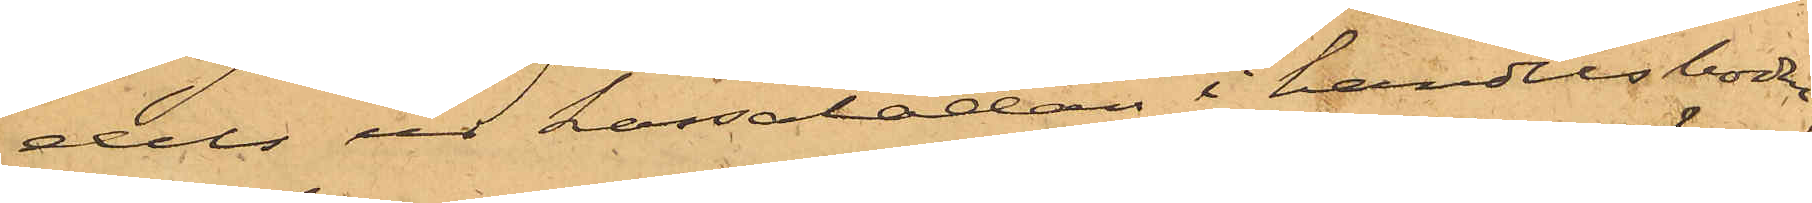dels ur kassalådan i handelsboden,
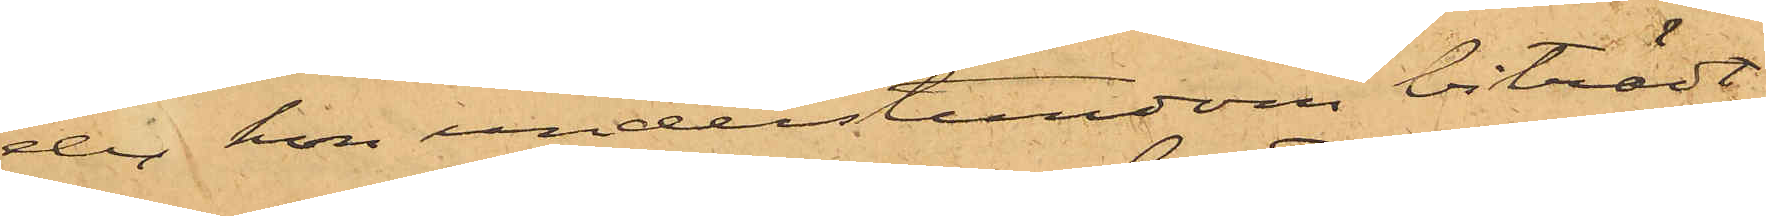der hon understundom biträdt
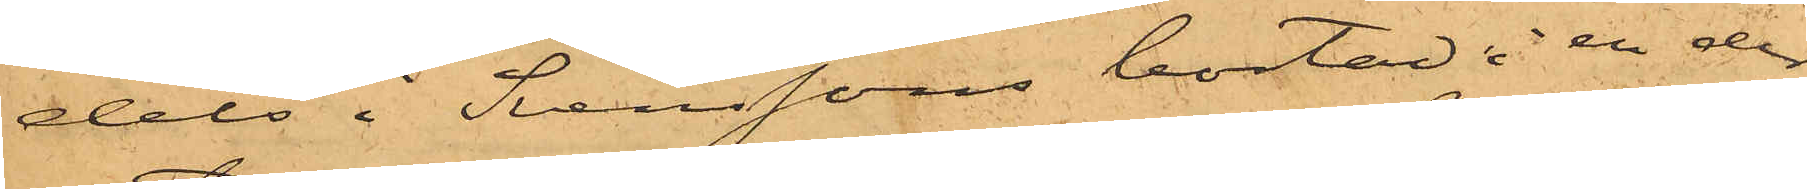dels i Svenssons bostad i en der
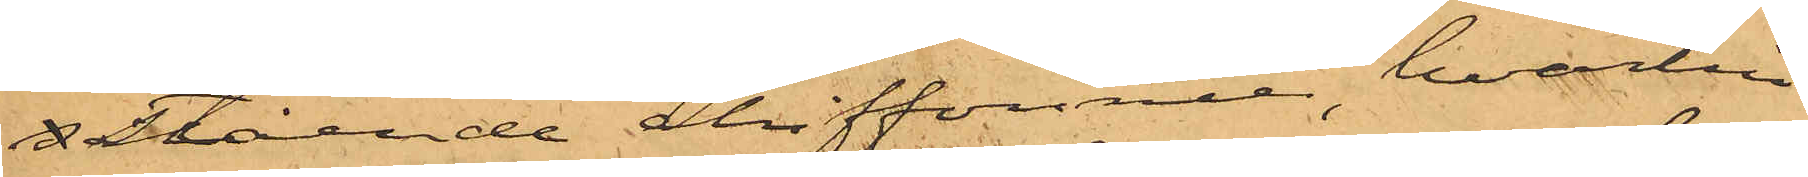s stående chiffonier, hvartill
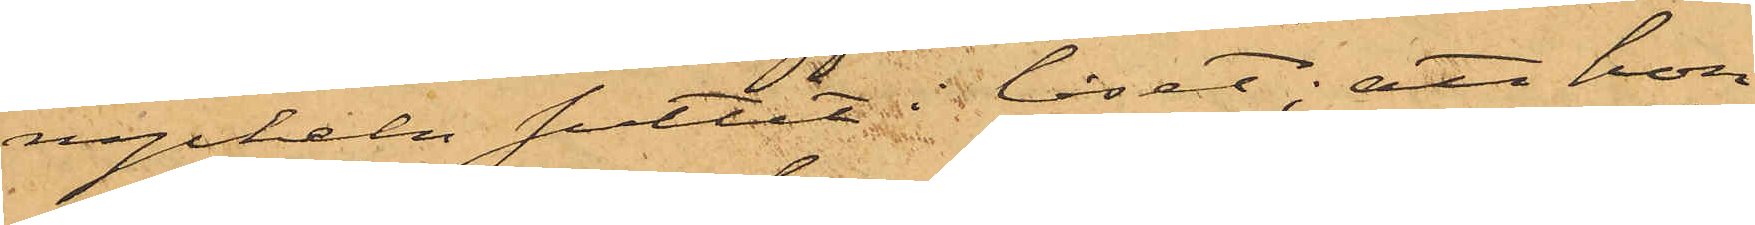nyckeln suttit i låset; att hon
